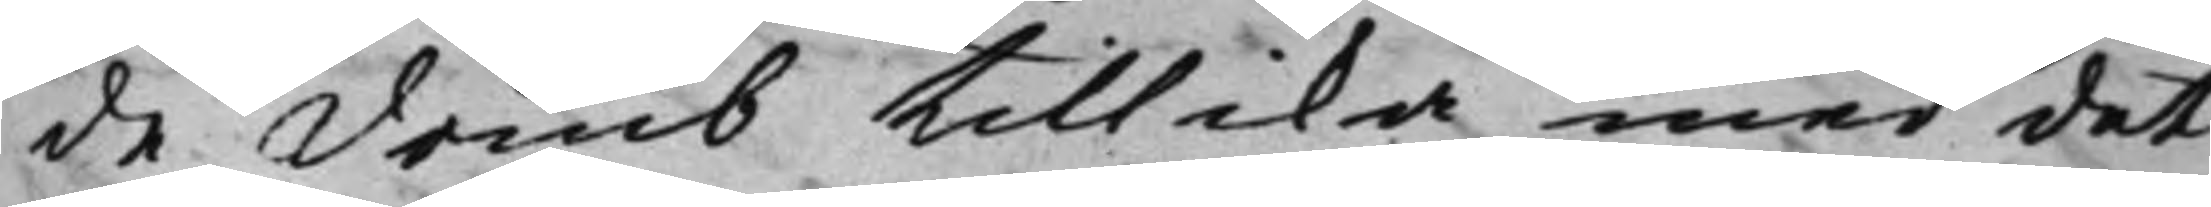de domb tillika med det
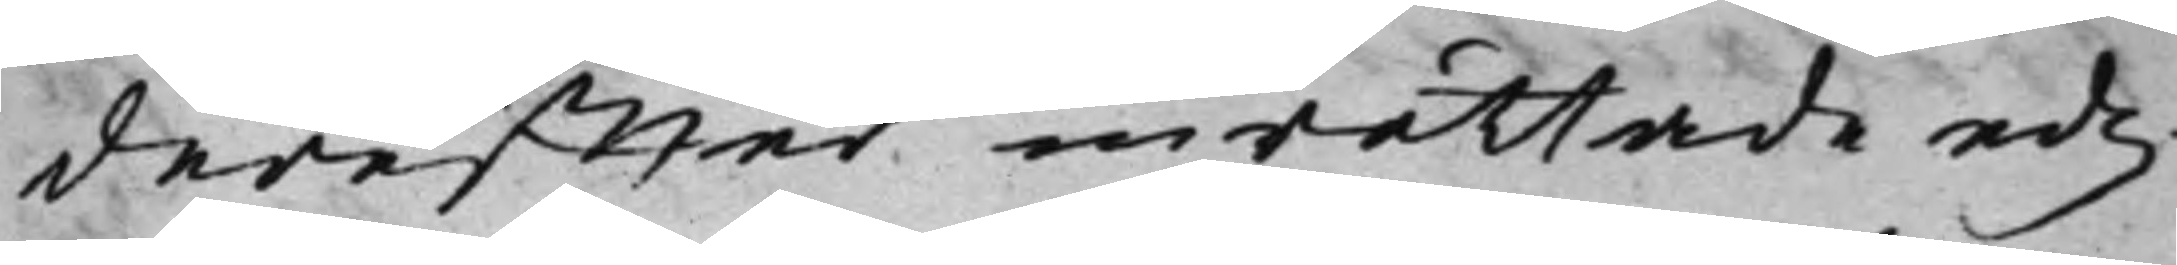dereffter inrättade edz¬
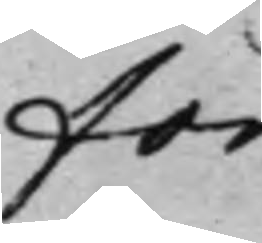for¬
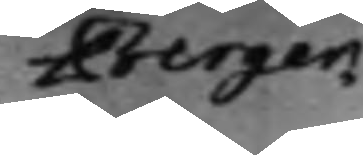Berger
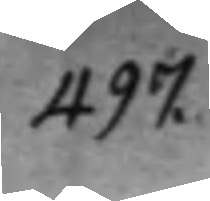497.
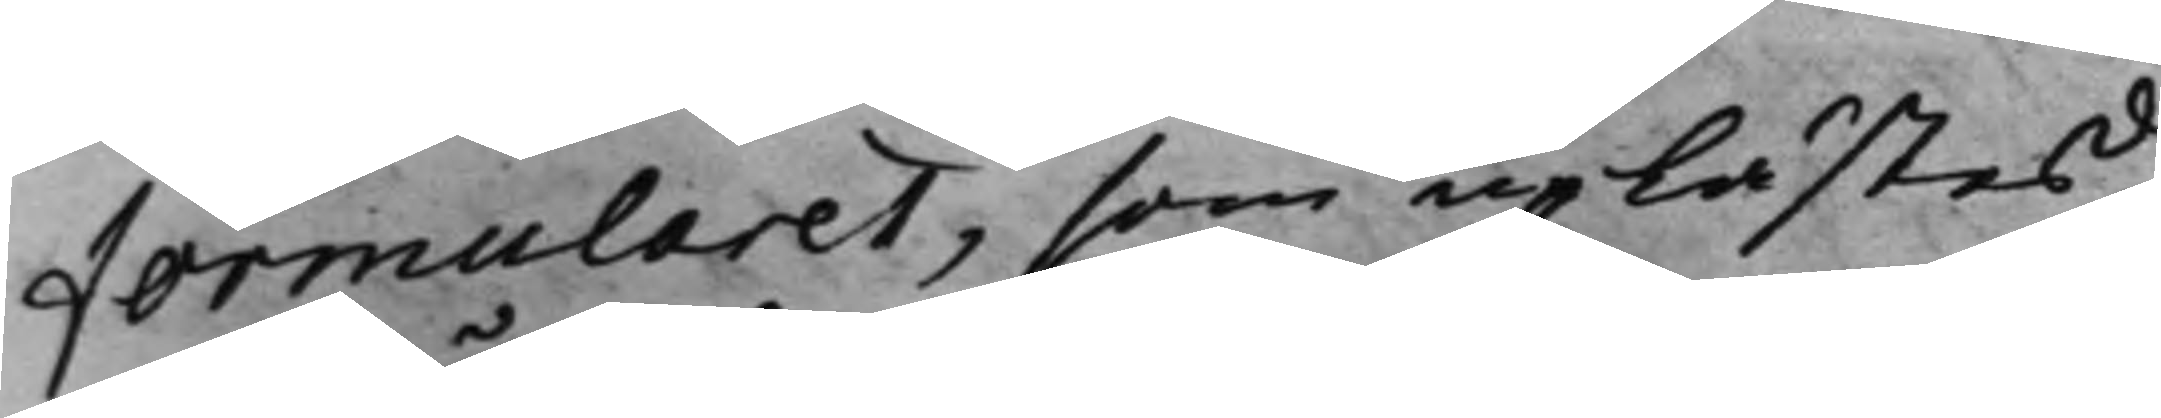formularet, som uplästes,
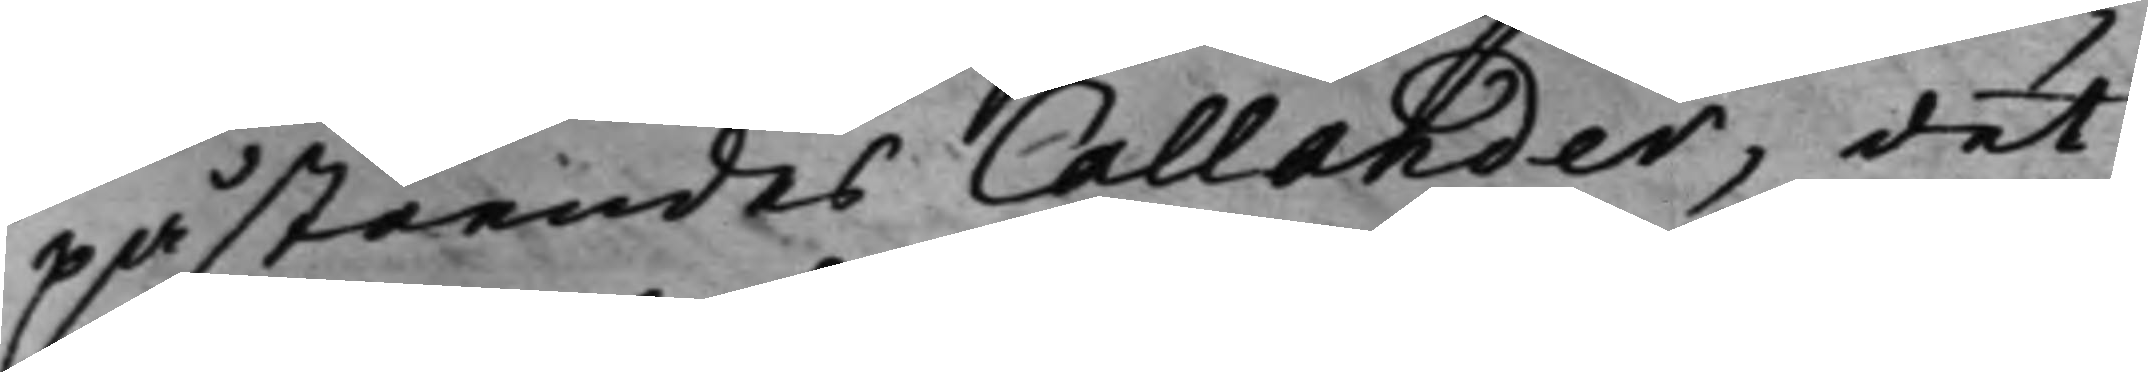påståendes Callander, det
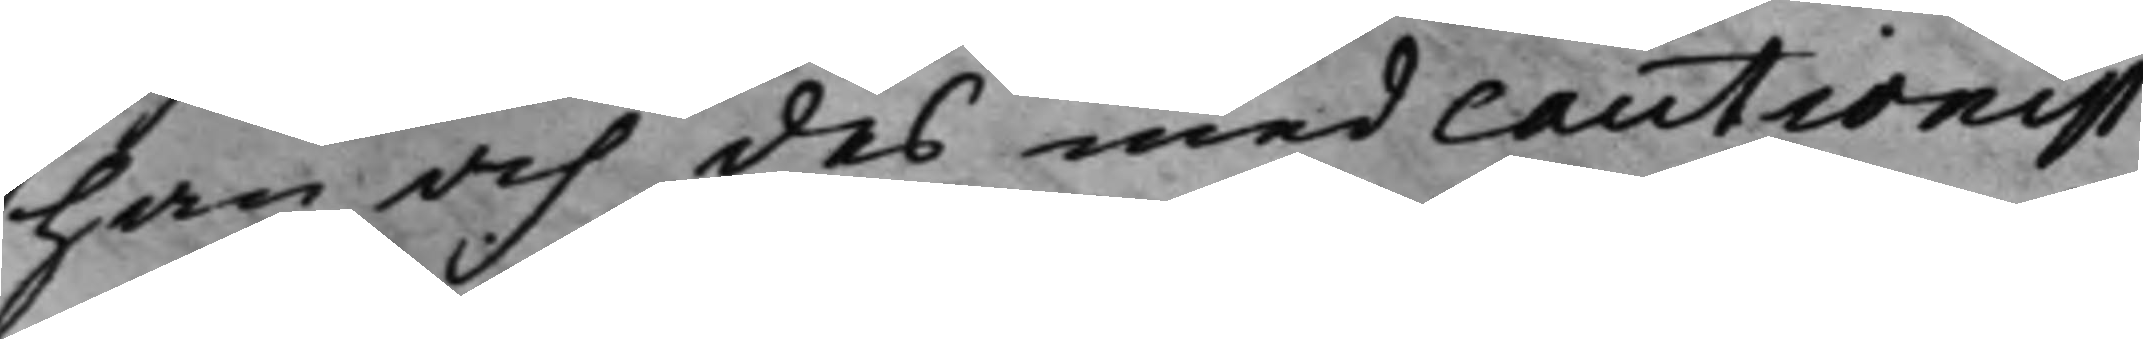han och des med cautionist
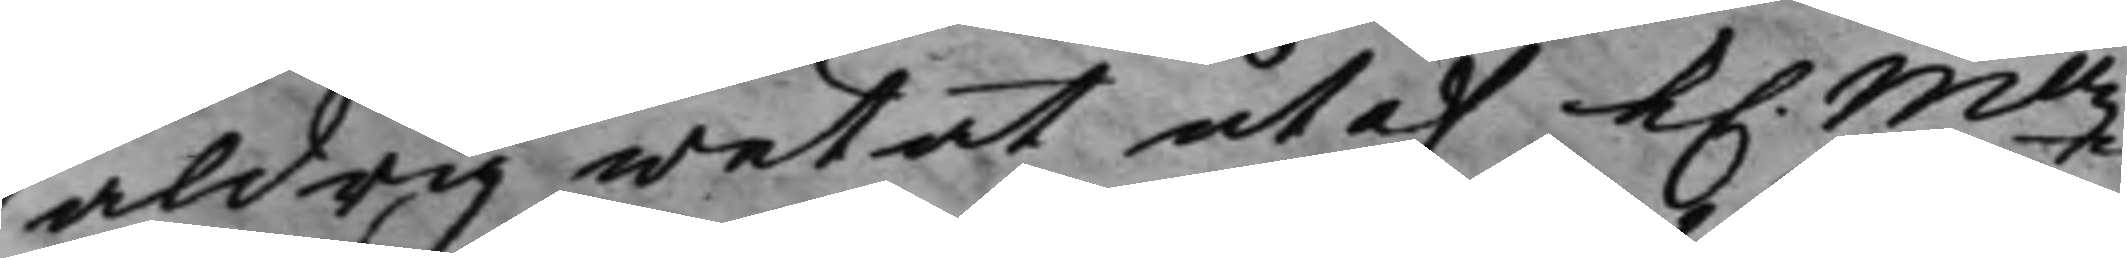aldrig wetat utaf K. Mttz
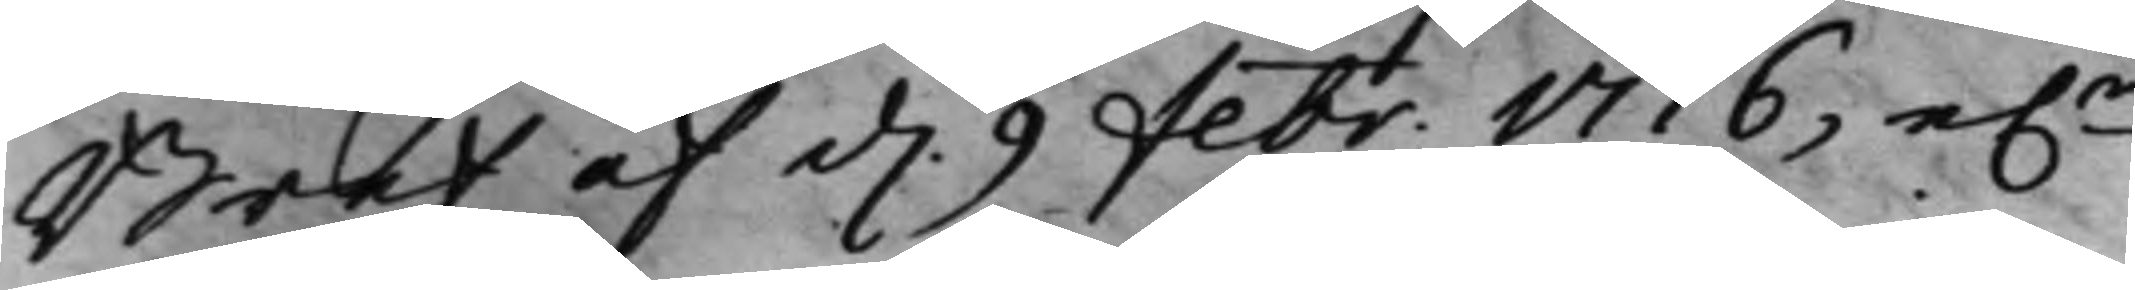Bref af d. 9 Febr. 1716, e.r
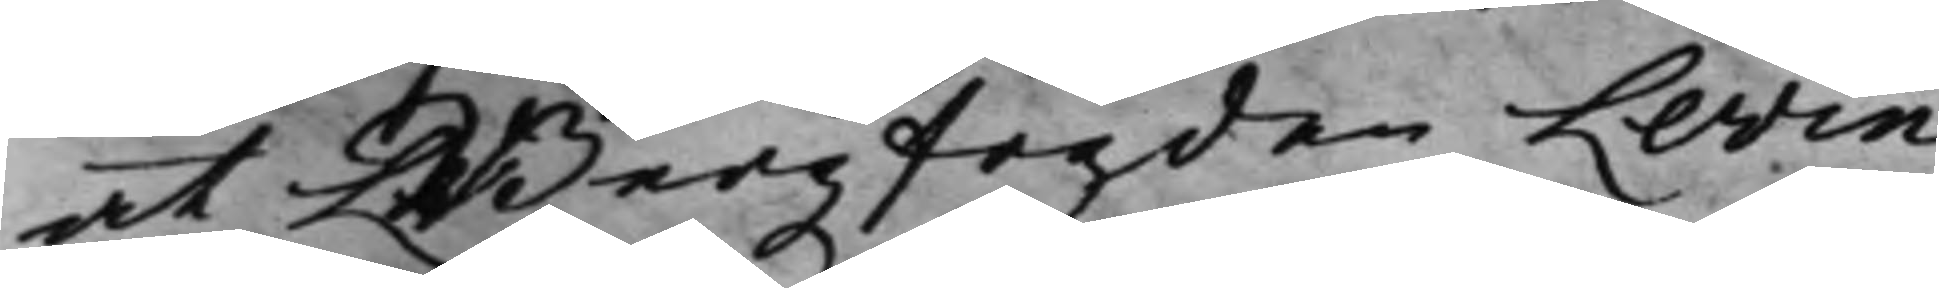at Bergzfogden Levin
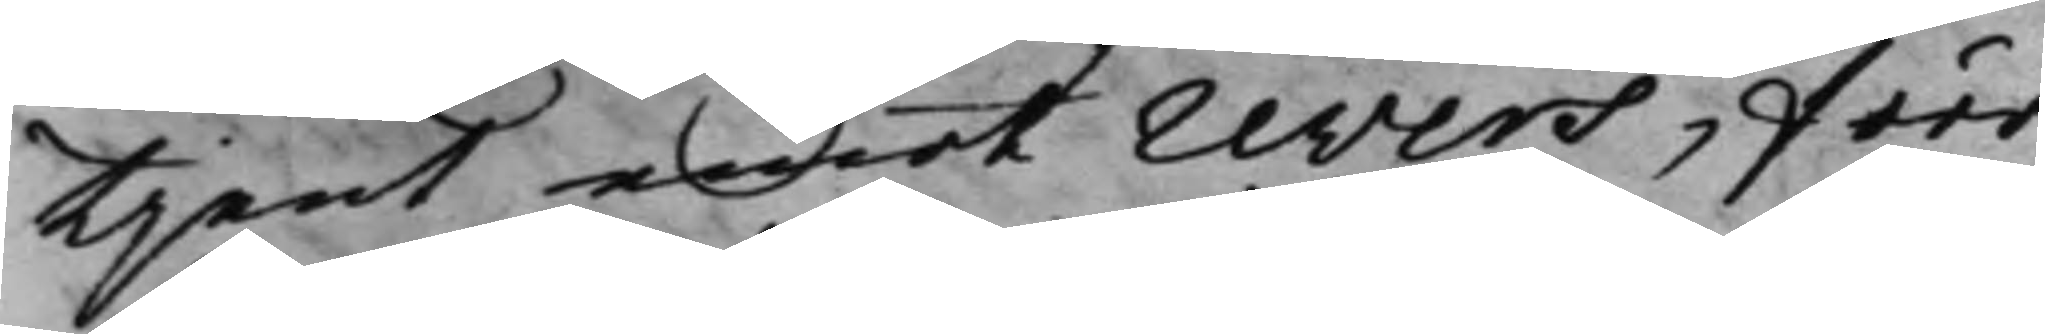tjent emot revers, förr
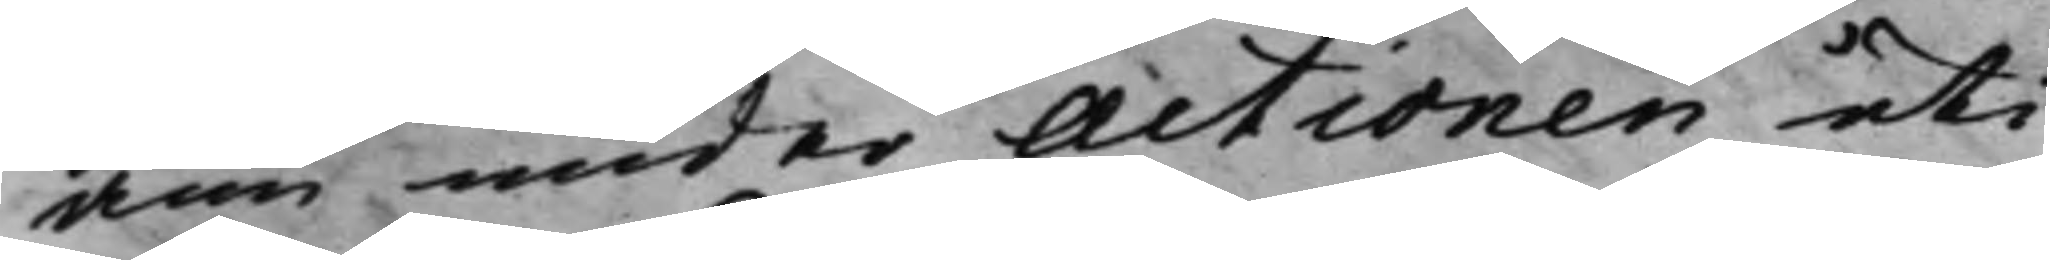änn under Actionen uti
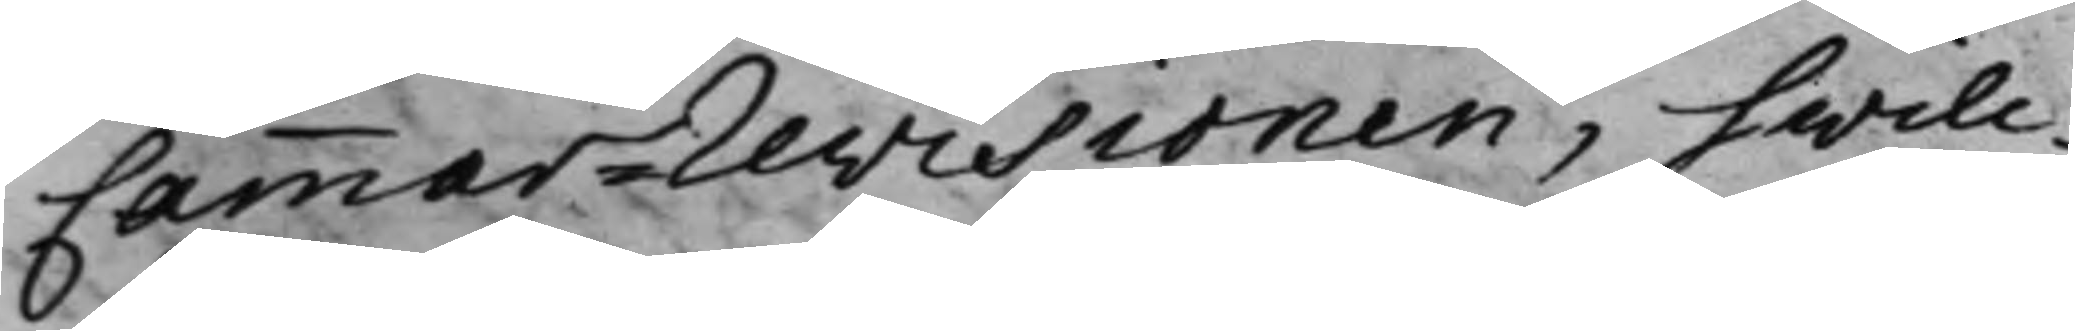Cammar-Revisionen, hwilc¬
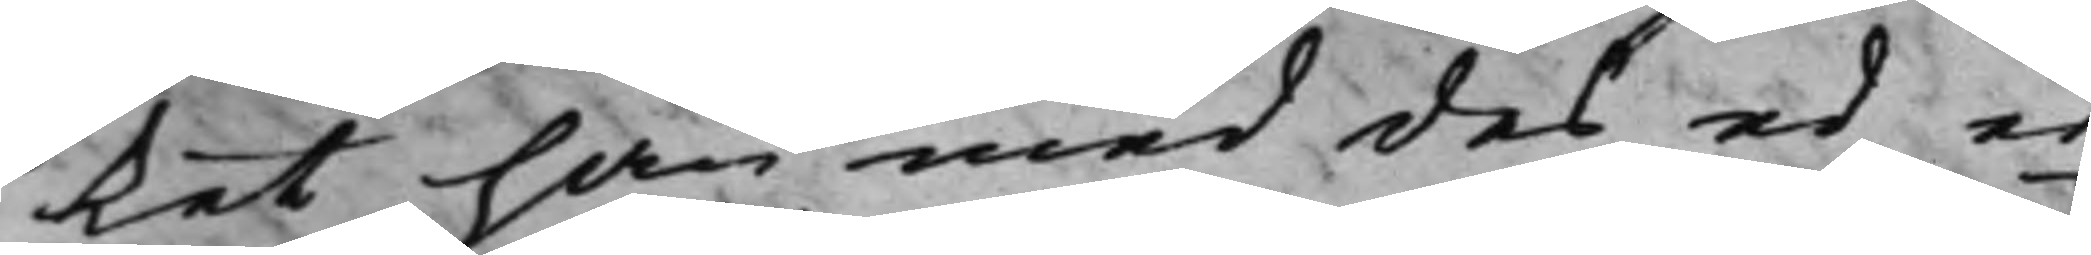ket han med des ed er¬
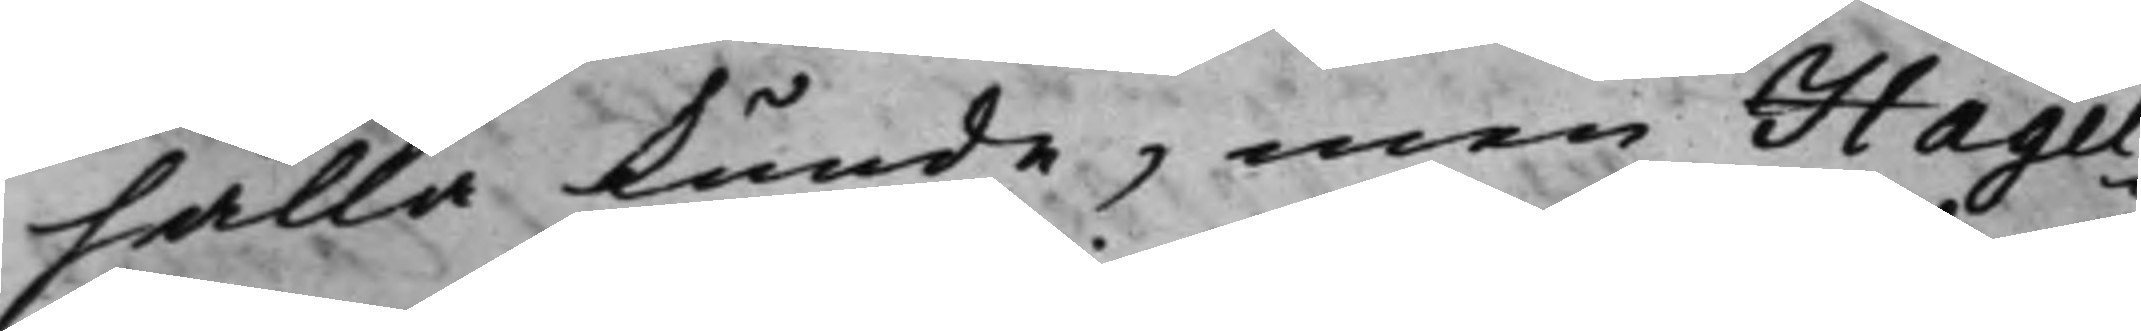hålla kunde, men Hagel¬
